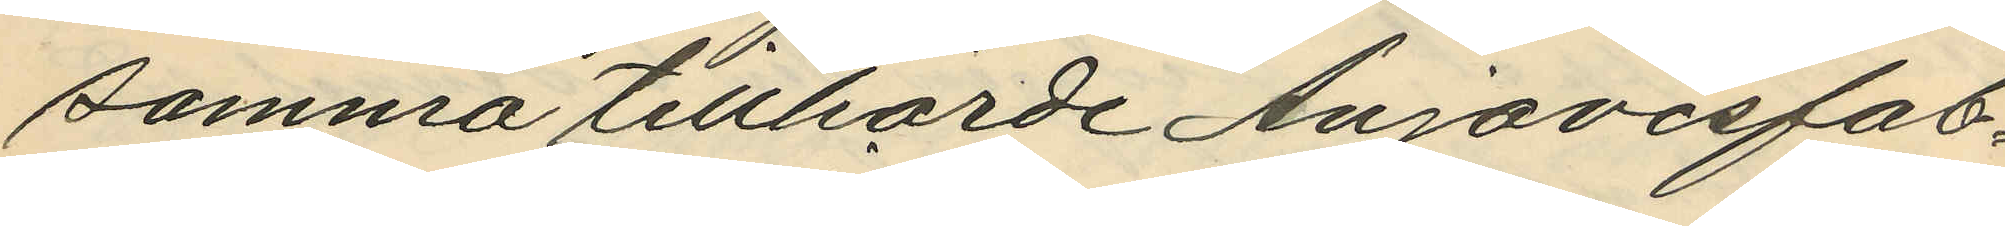samma tillhörde Anjovisfab¬
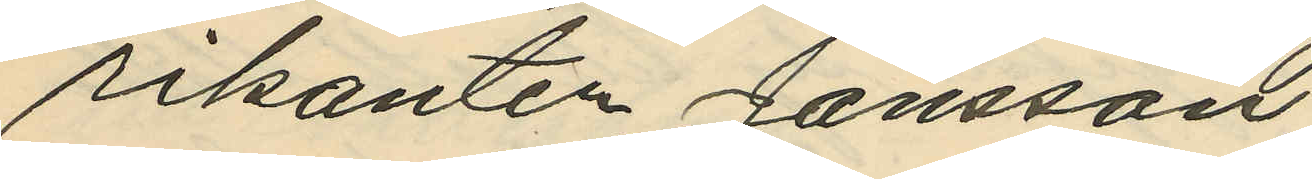rikanten Jansson;
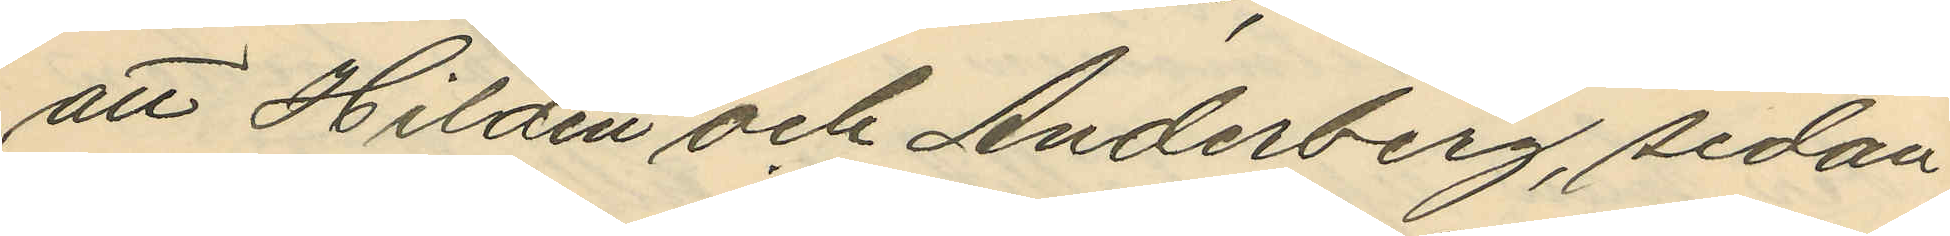att Hildén och Anderberg, sedan
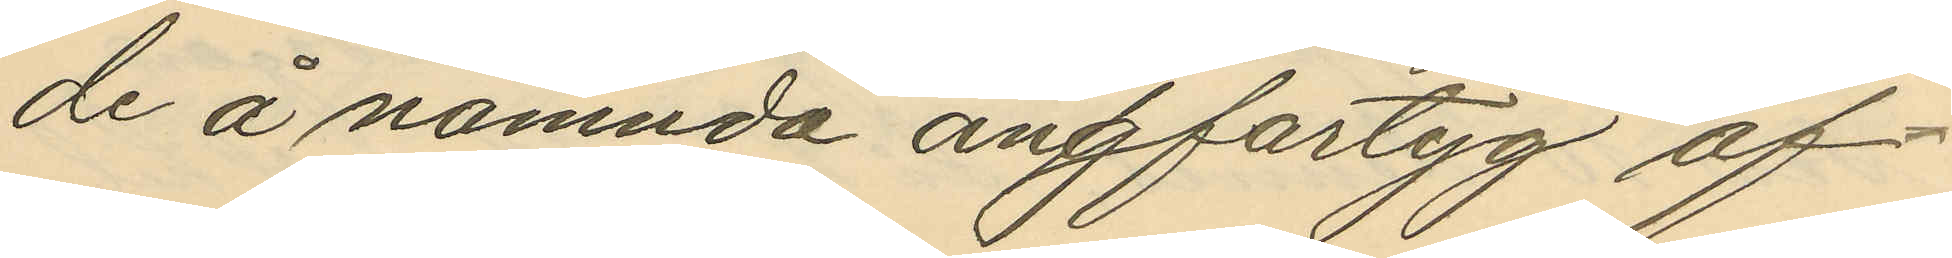de å nämnda ångfartyg af¬
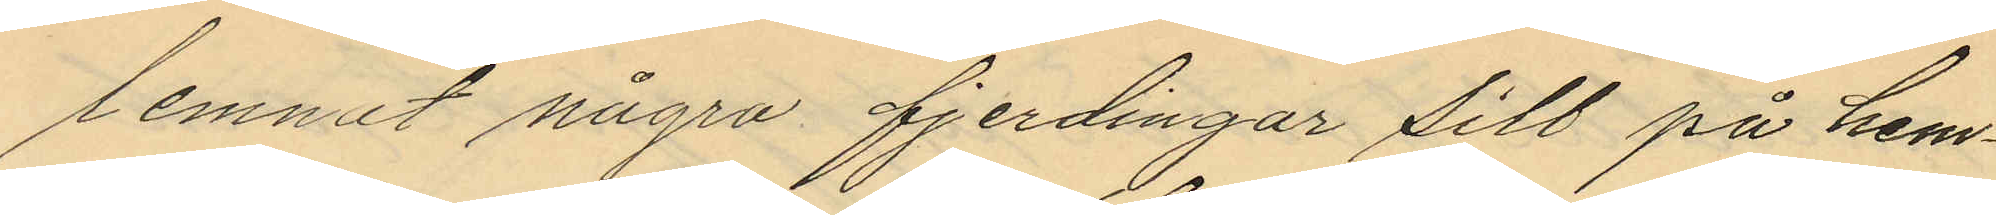lemnat några fjerdingar sill på hem¬
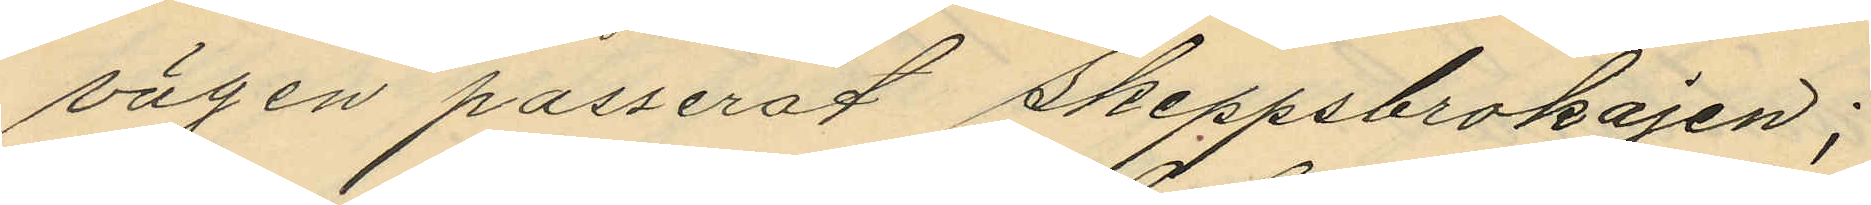vägen passerat Skeppsbrokajen;
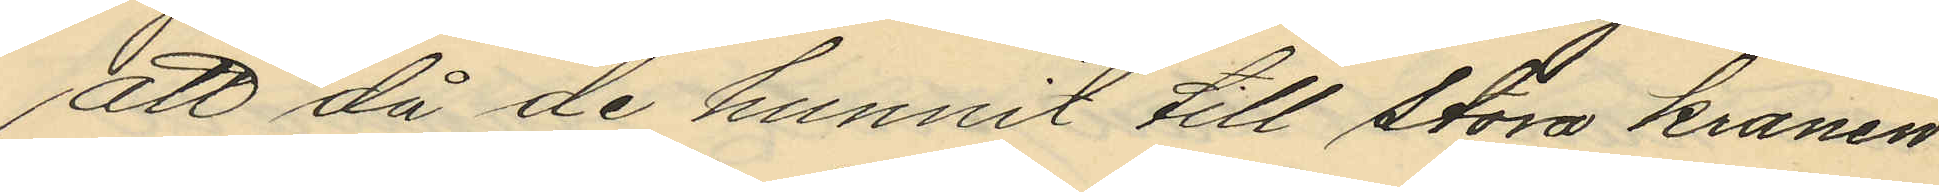att då de hunnit till stora kranen
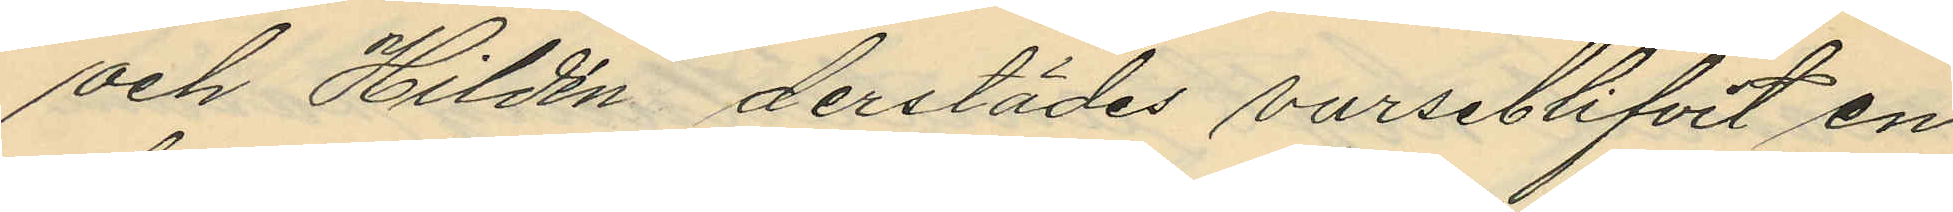och Hildén derstädes varseblifvit en
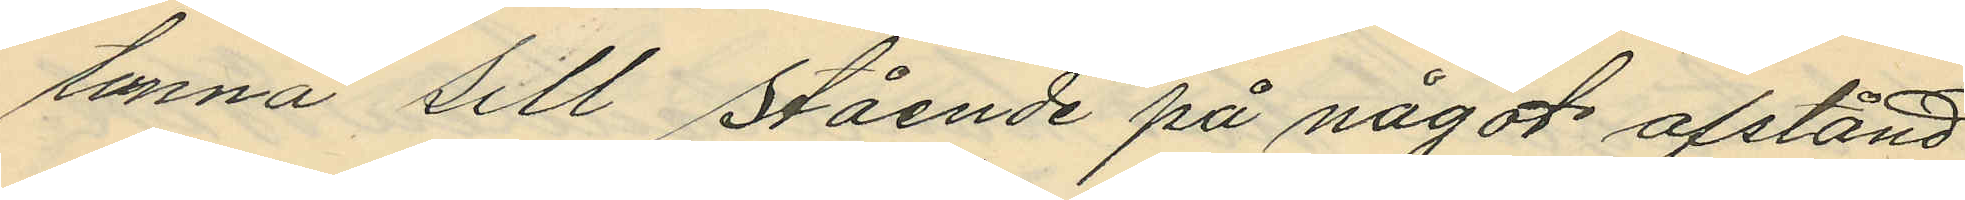tunna sill stående på något afstånd
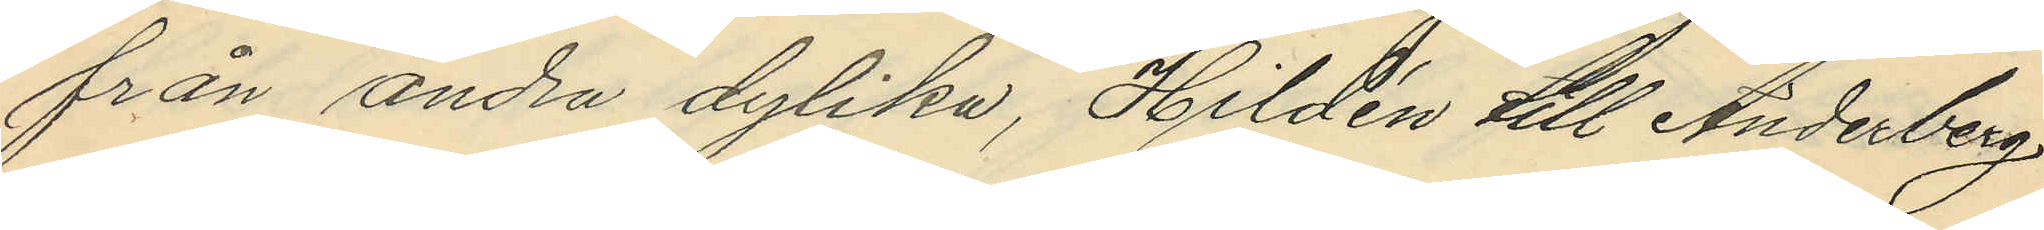från andra dylika, Hildén till Anderberg
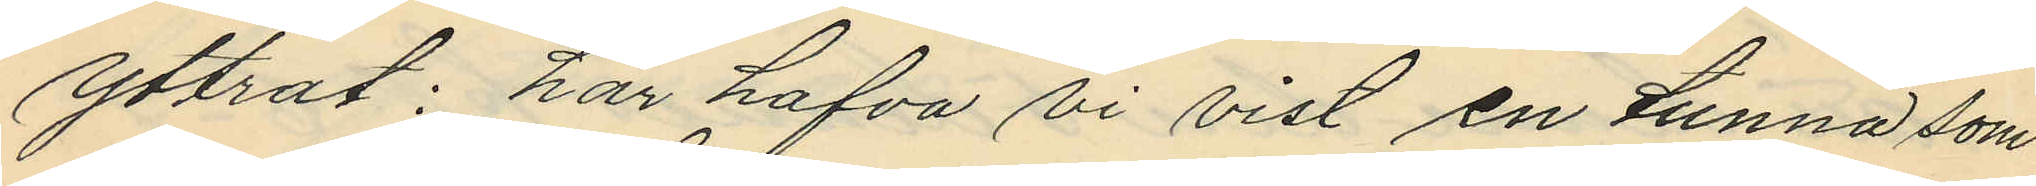yttrat: "här hafva vi vist en tunna som
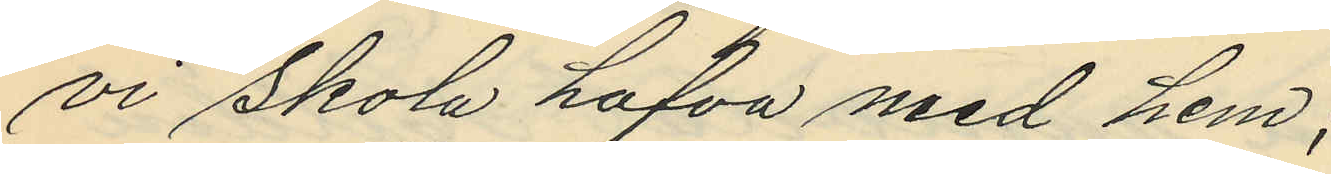vi skola hafva med hem";
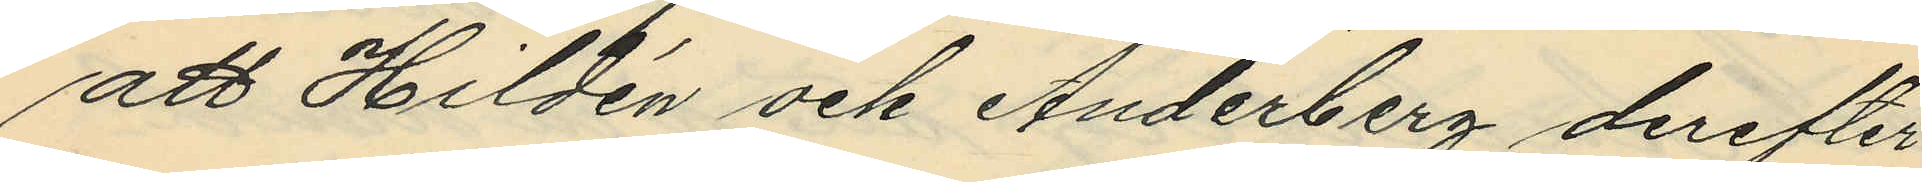att Hildén och Anderberg derefter
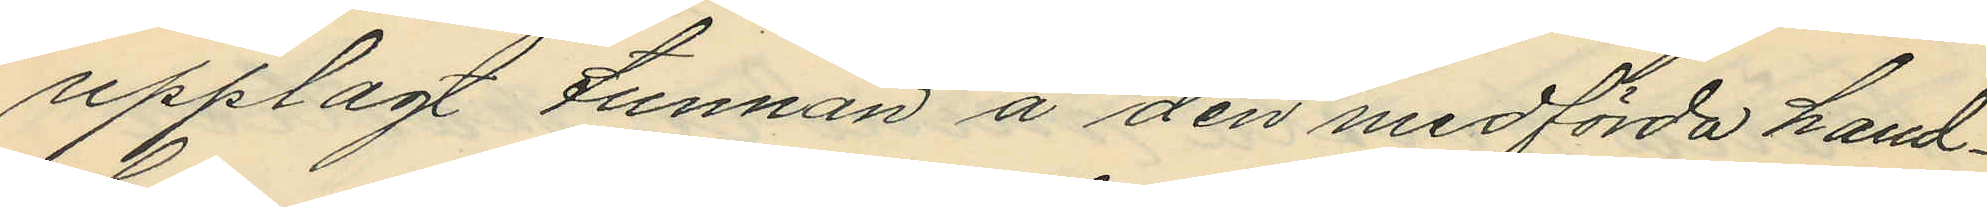upplagt tunnan å den medförda hand¬
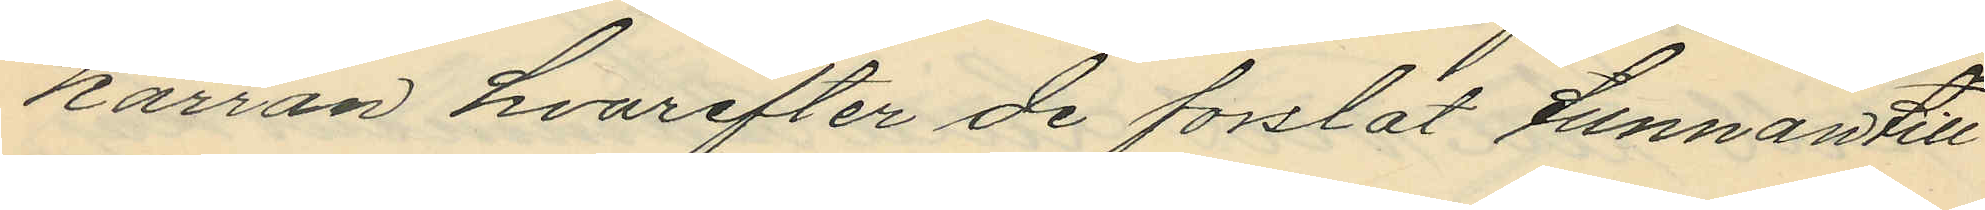kärran hvarefter de forslat tunnan till
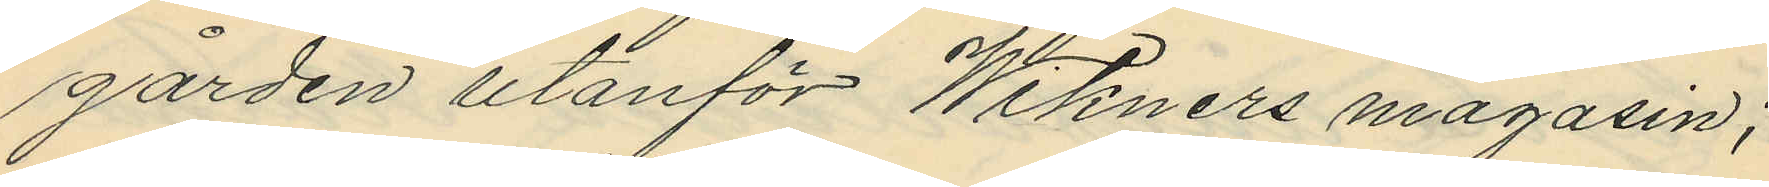gården utanför Wikners magasin;
